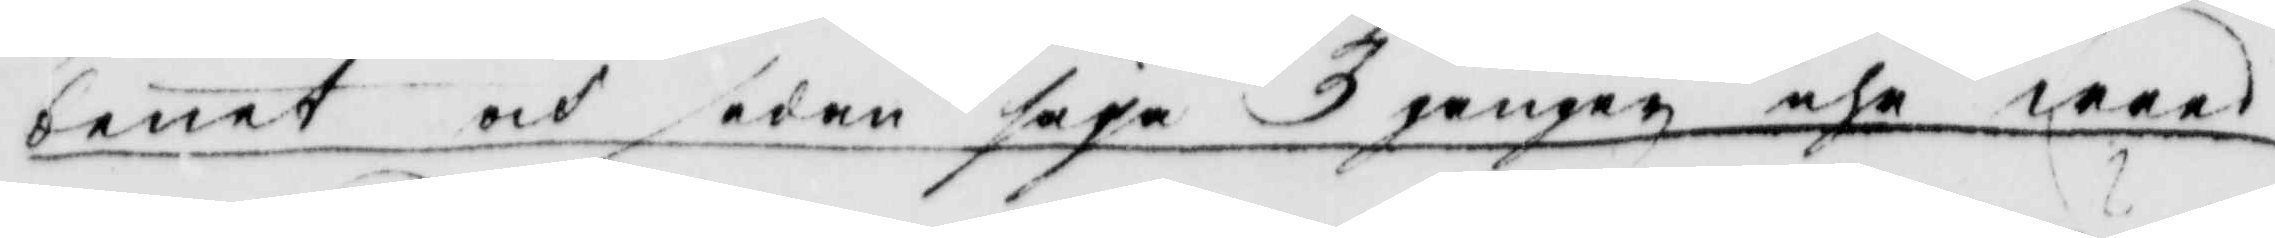benet och sedan säja 3 gånger ähr wred
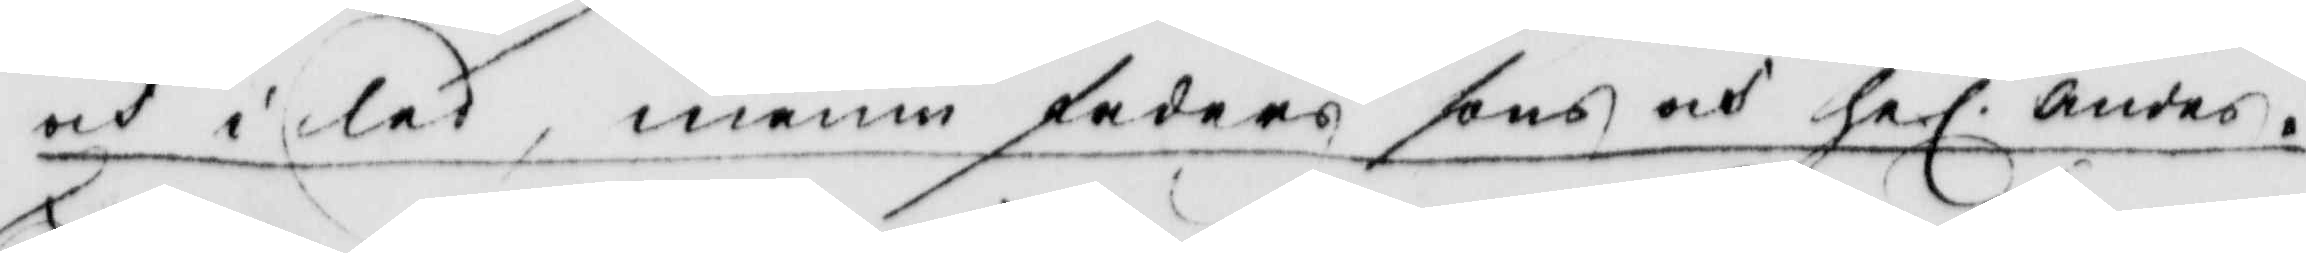och i led, innan faders sons och hel. andes.
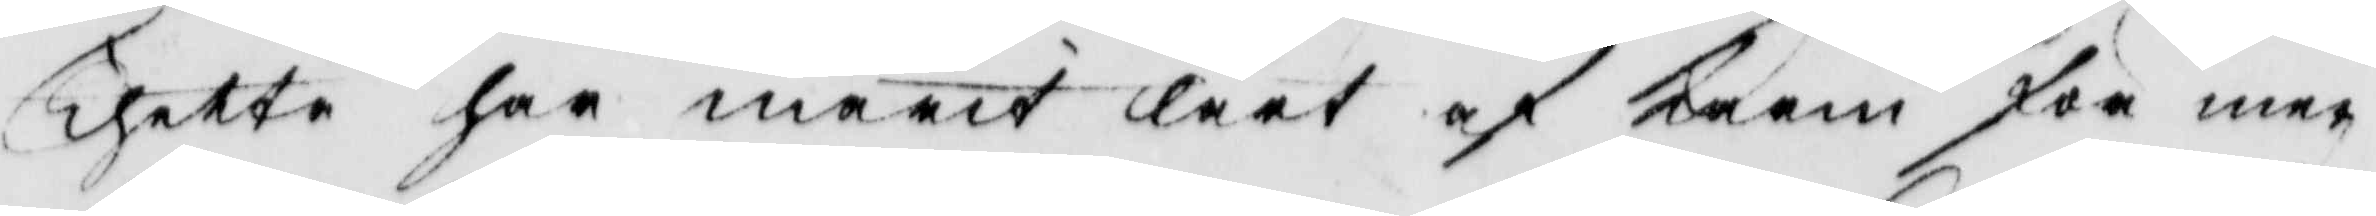Thette har marit lärt af Karin för mer
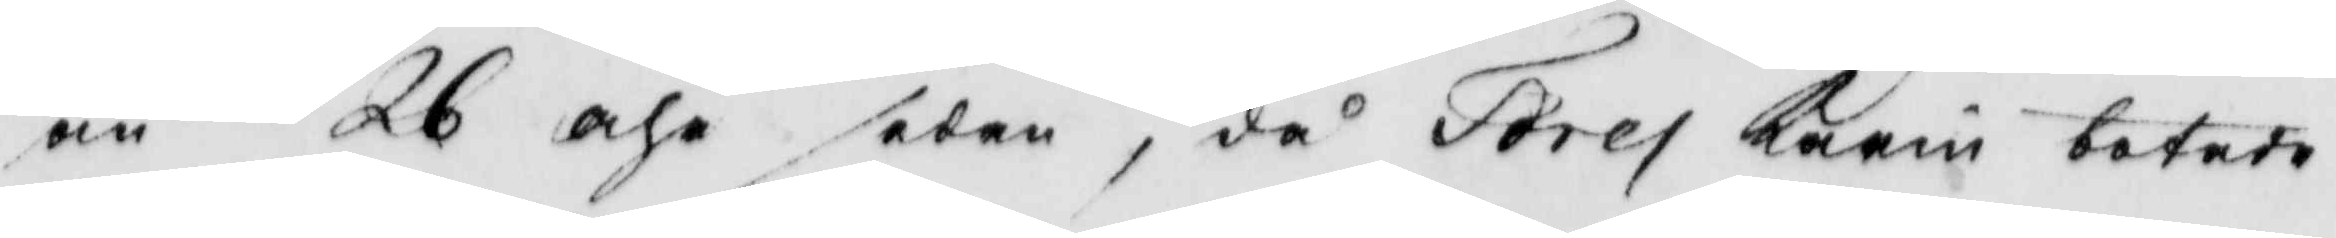än 26 åhr sedan, då Tores Karin botade
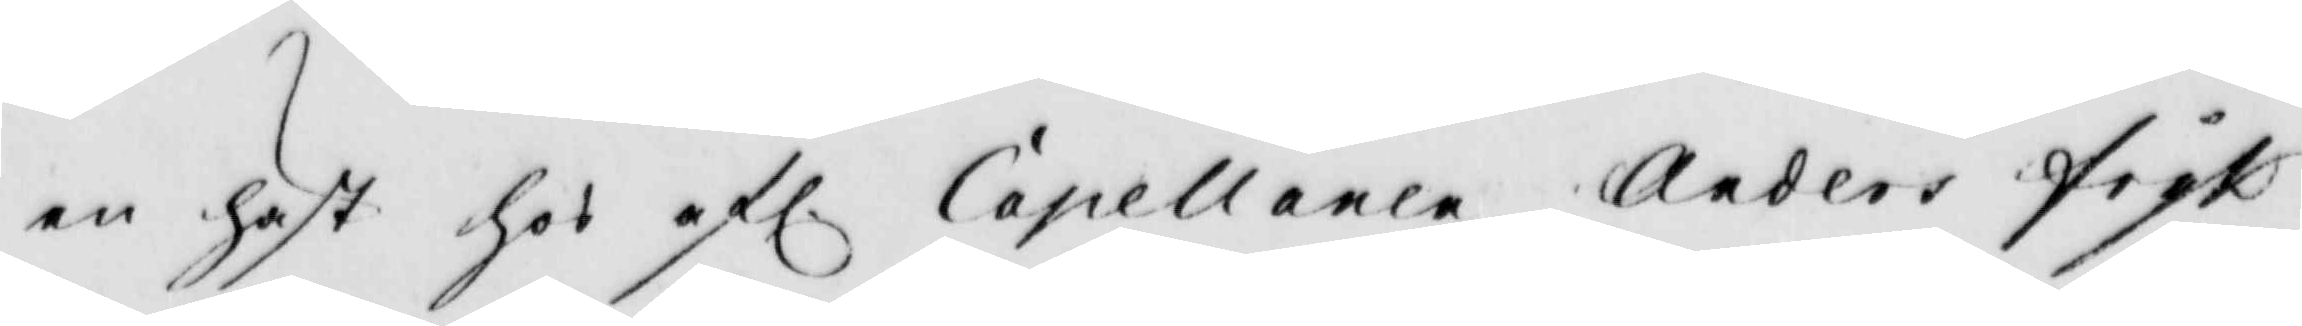en häst hos afl. Capellanen Anders fryk¬
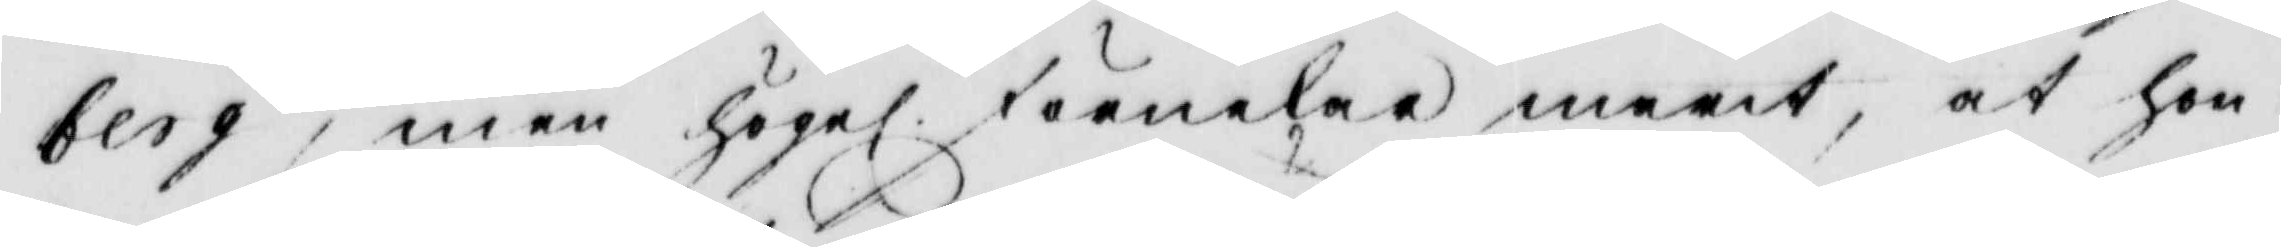berg, men högel. förnekar marit, at hon
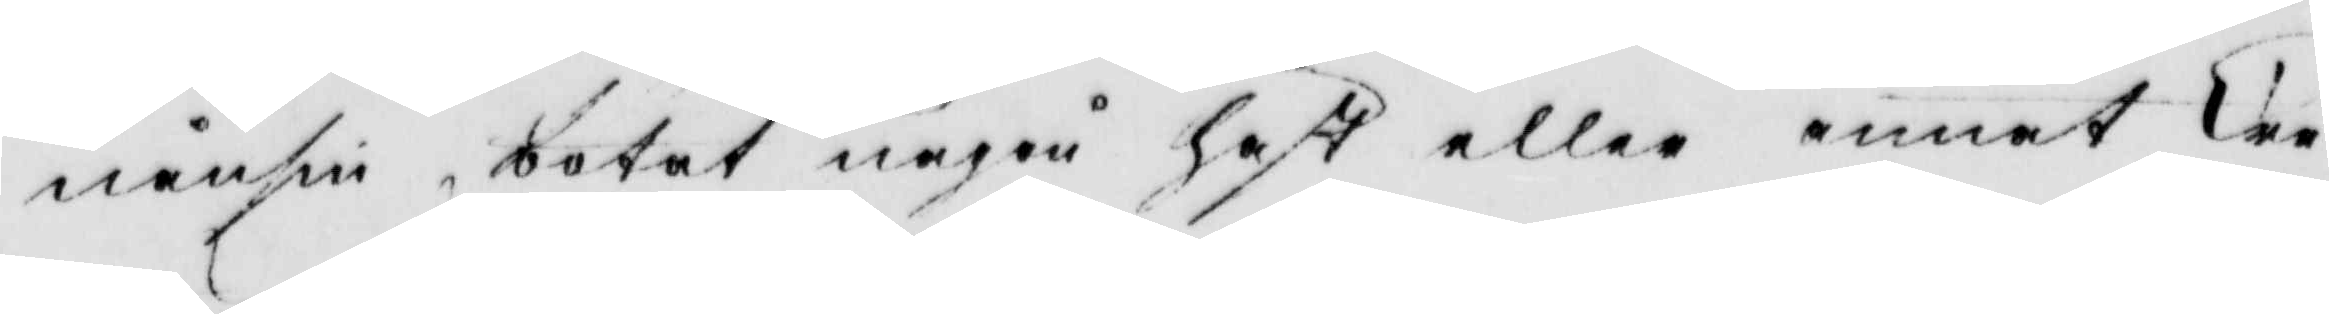nånsin botat någon häst eller annat Cre¬
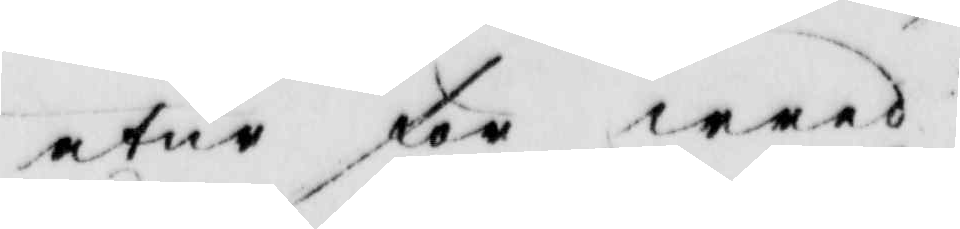atur för wred.
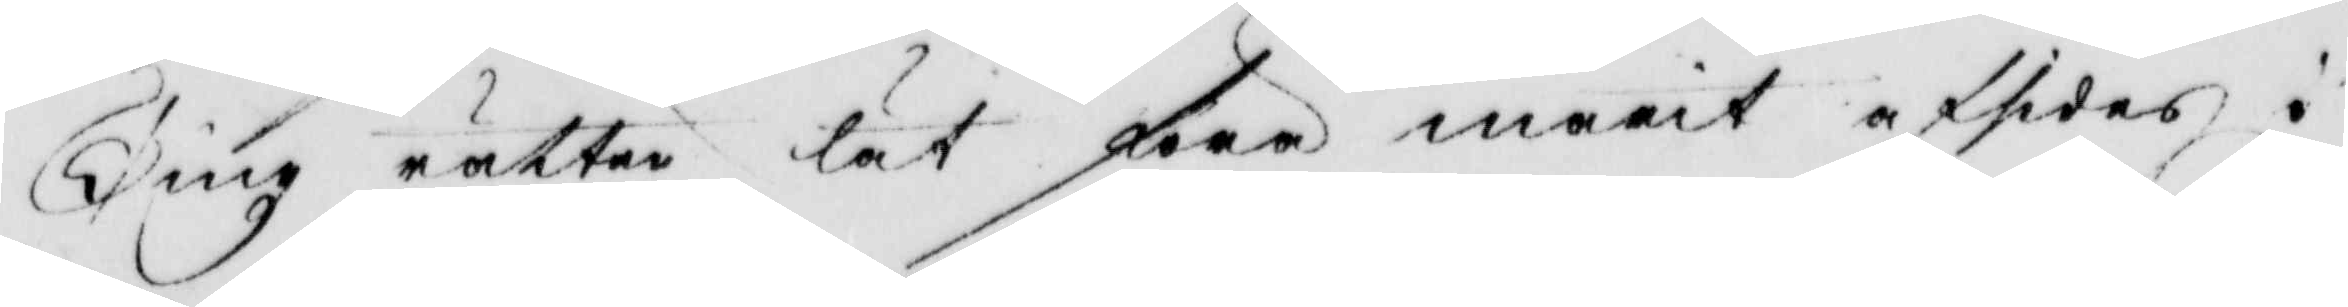Ting rätten lät föra marit afsides i
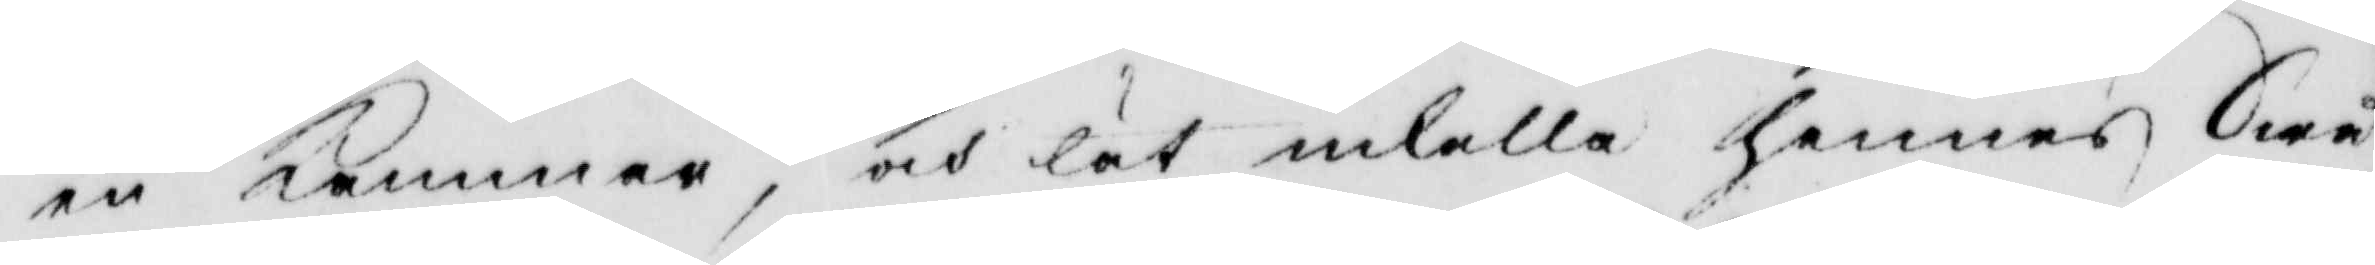en kammare, och lät inkalla hennes Swå¬
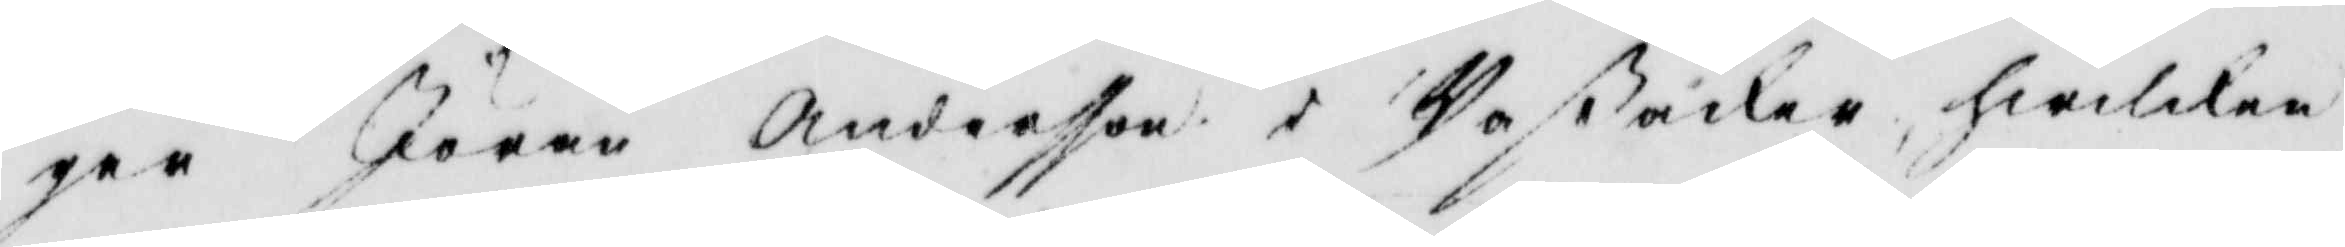ger Jöran Andersson i Waßåker, hwilken
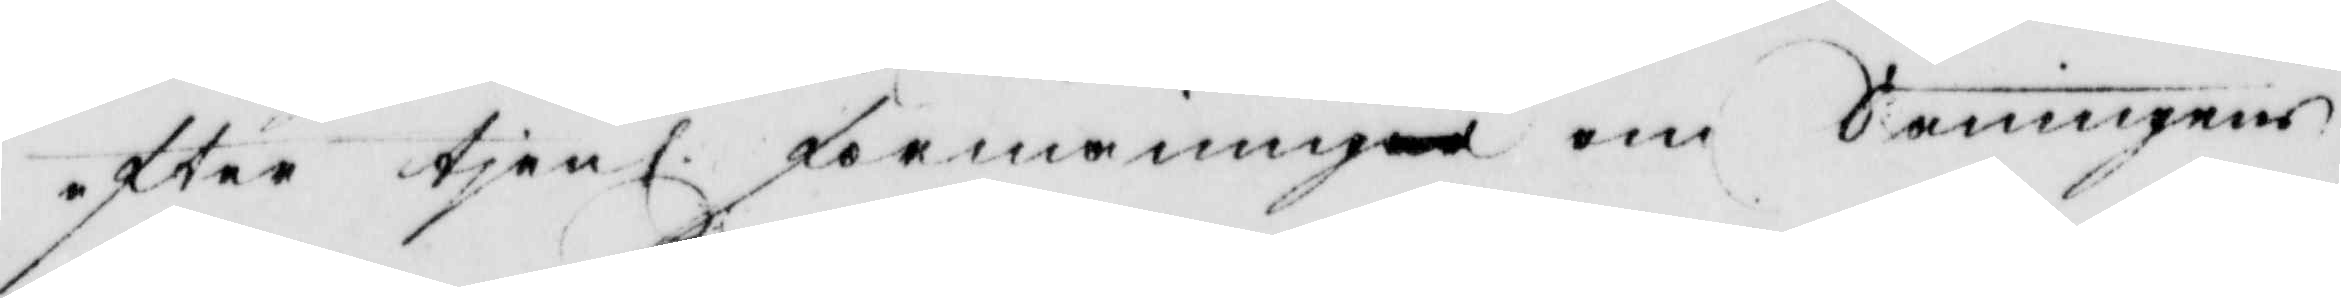efter tjenl. förmaningar om Sanningens
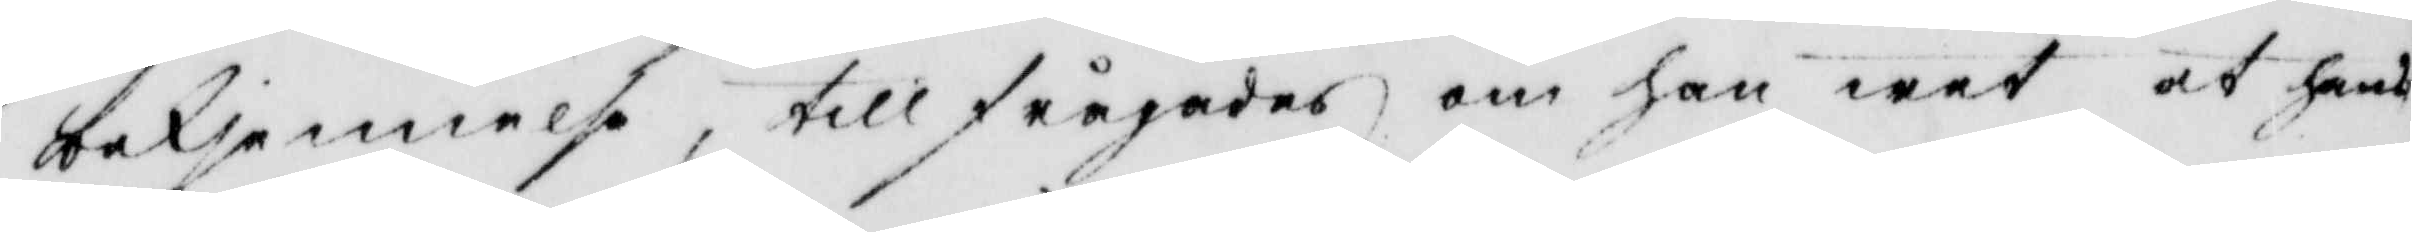bekjennelse, tillfrågades om han wet at hans
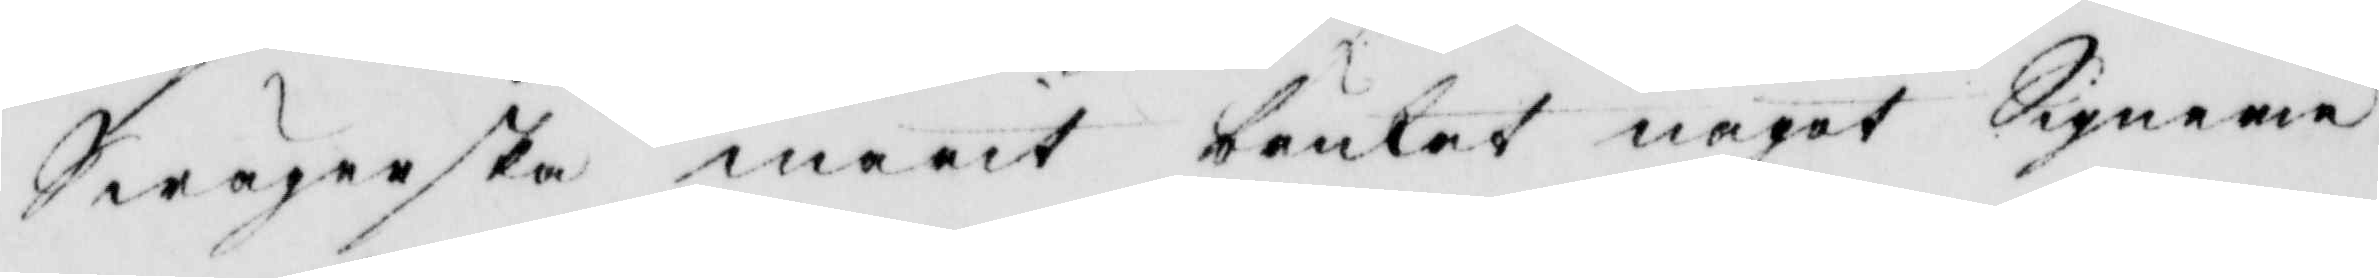Swägerska marit brukat något Signerie
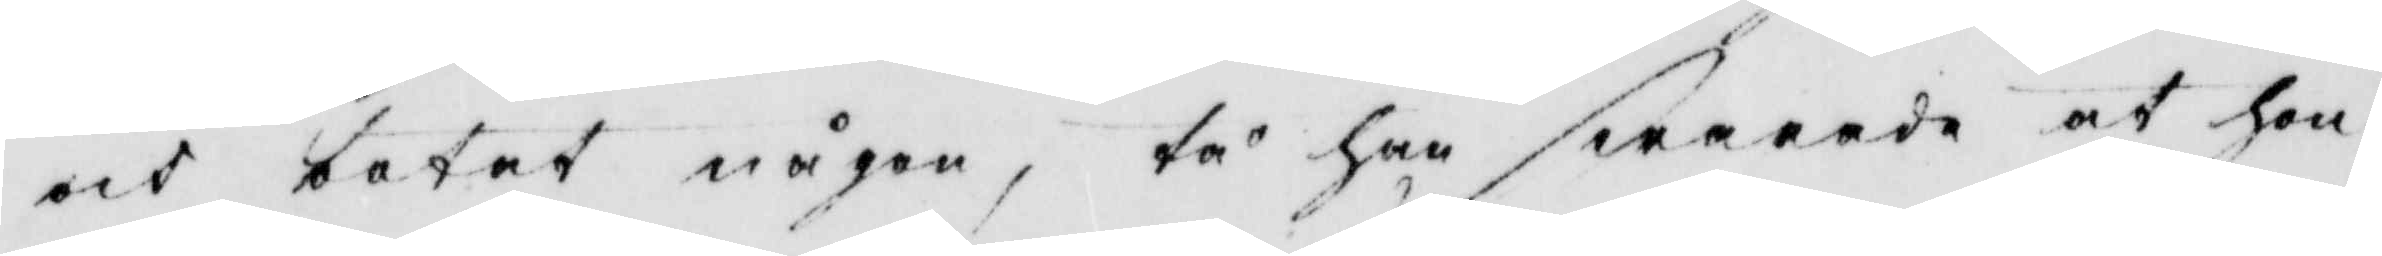och botat någon, tå han swarade at hon
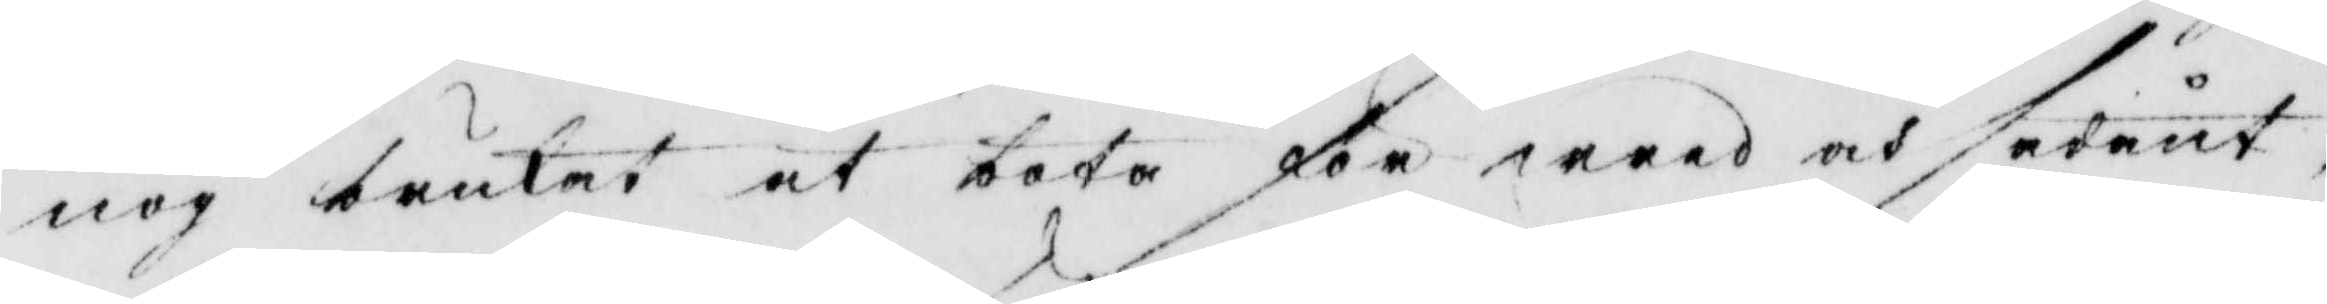nog brukat at bota för wred och sådant,
